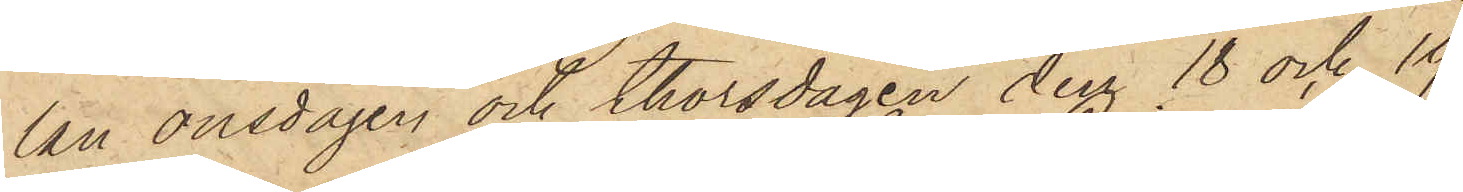lan onsdagen och thorsdagen den 18 och 19
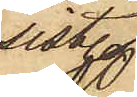sist.
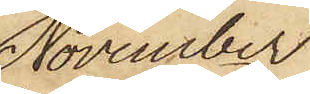November
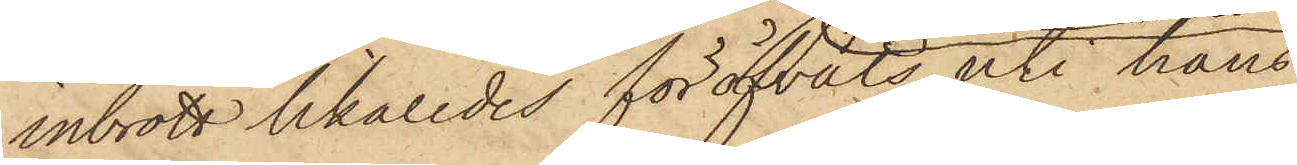inbrott likaledes föröfvats uti hans
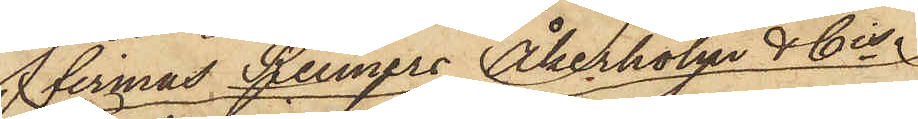firmas Reimers Åkerholm & Cis
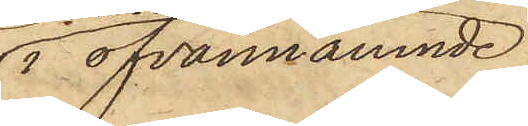i ofvannämnde
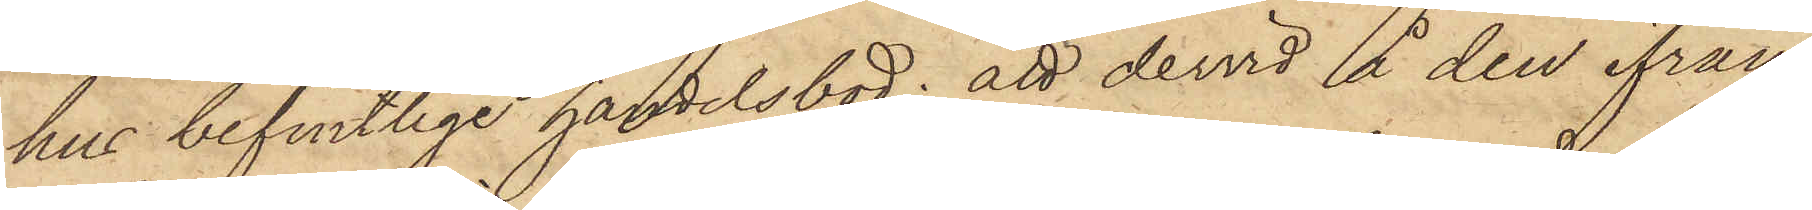hus befintlige handelsbod; att dervid å den ifrån
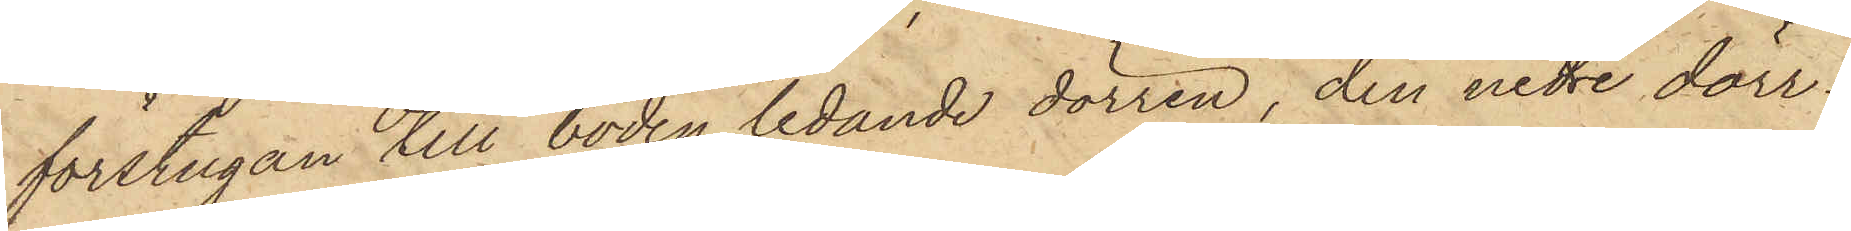förstugan till boden ledande dörren, den nedre dörr¬
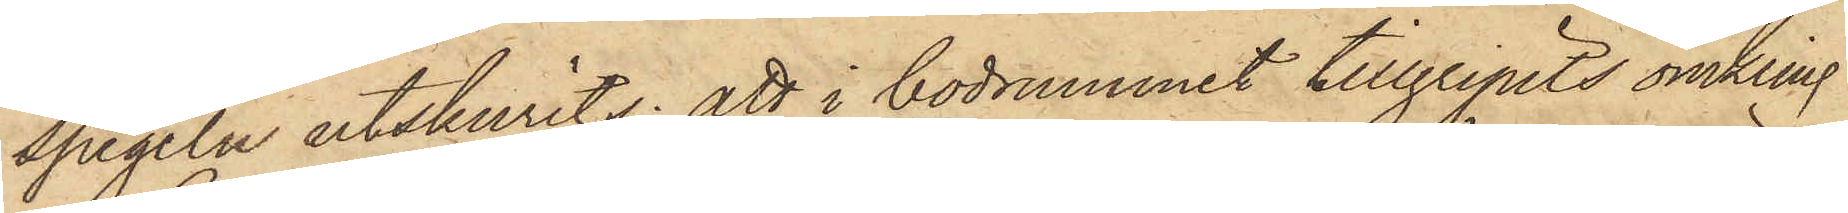spegeln utskurits; att i bodrummet tillgripits omkring
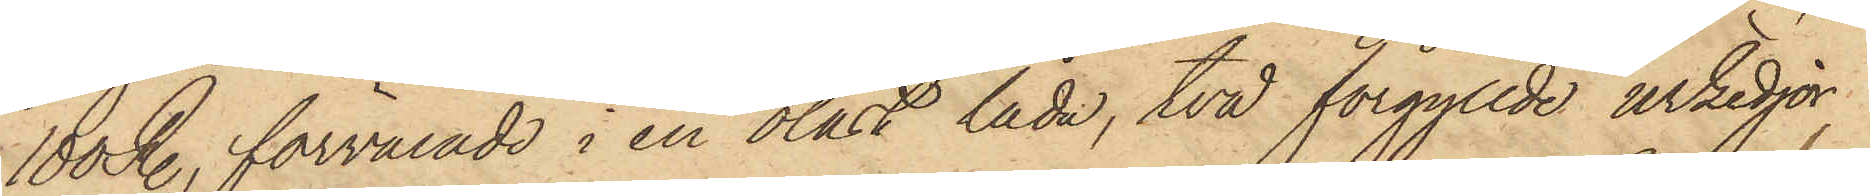100 R., förvarade i en olåst låda, två förgyllde urkedjor,
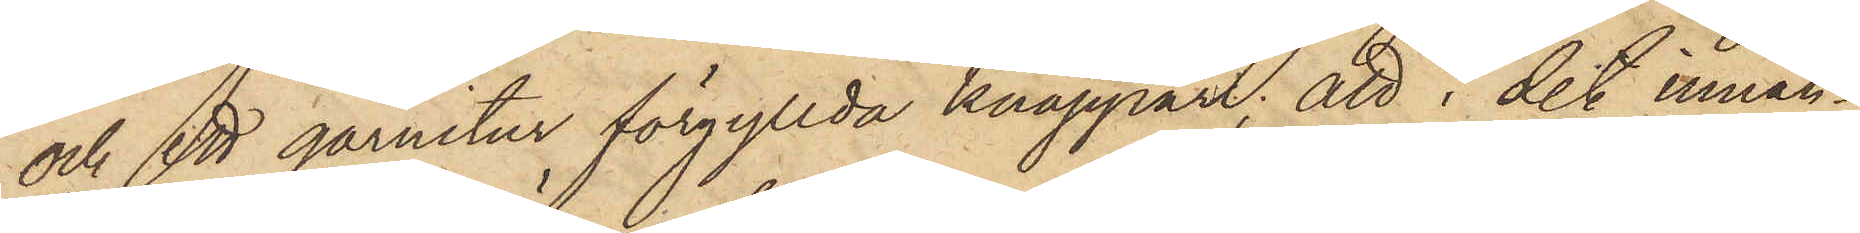och ett garnityr förgyllda knappar; att i det innan¬
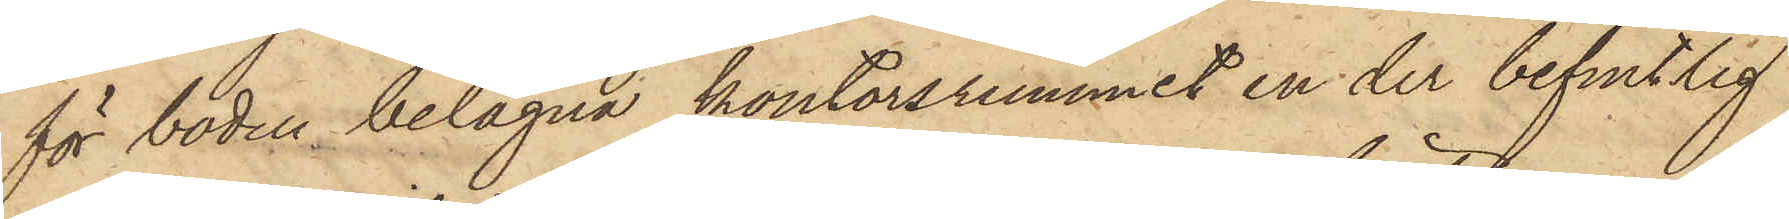för boden belägna kontorsrummet en der befintlig
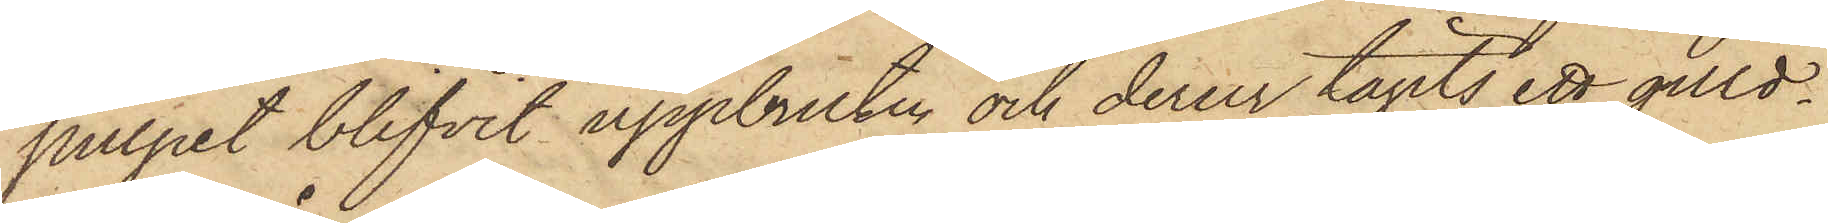pulpet blifvit uppbruten och derur tagits ett guld¬
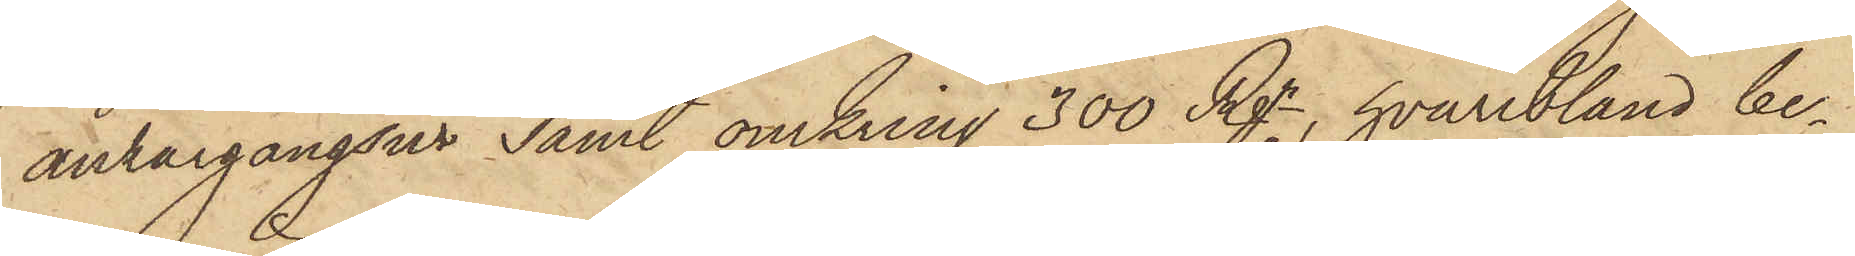ankargångsur samt omkring 300 Rgr, hvaribland be¬
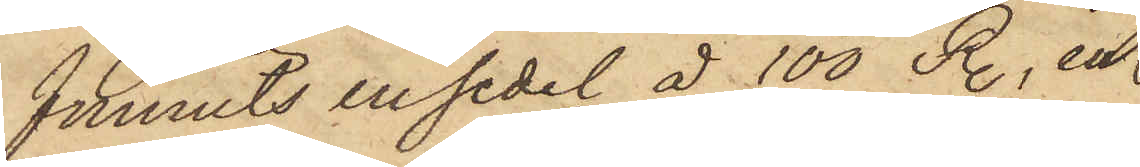funnits en sedel å 100 R., en
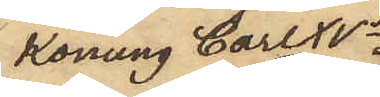Konung Carl XVs
